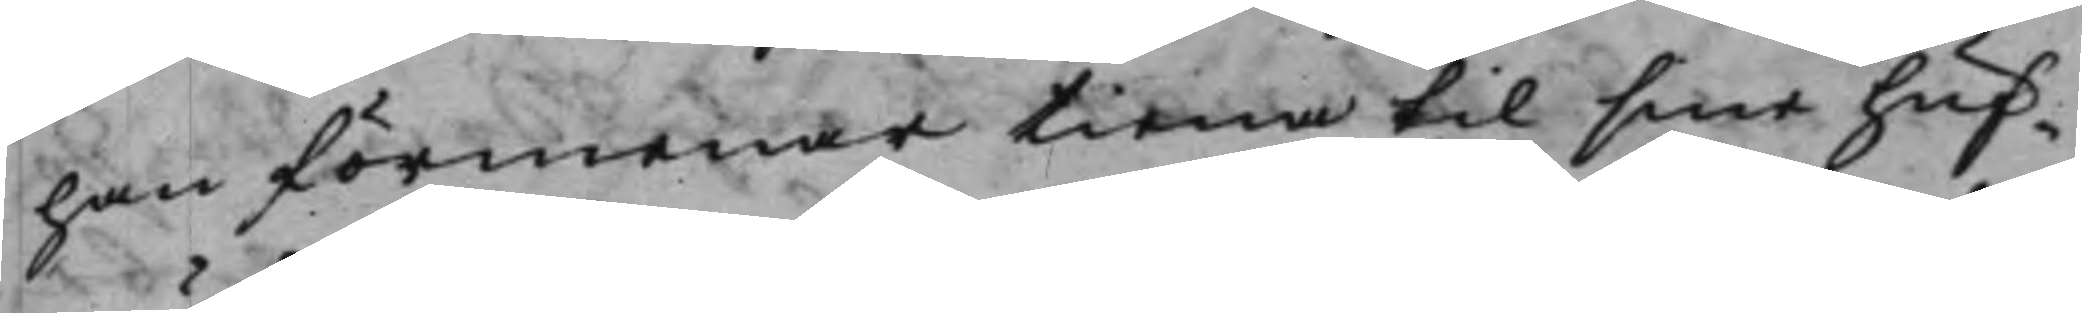han förmenar tiena til sine huf¬
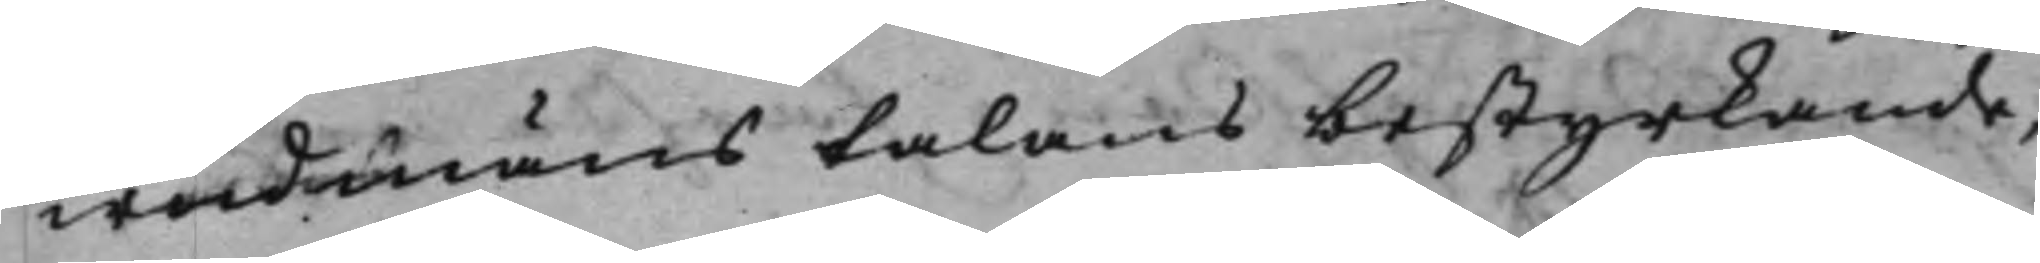wudmäns talans bestyrkande,
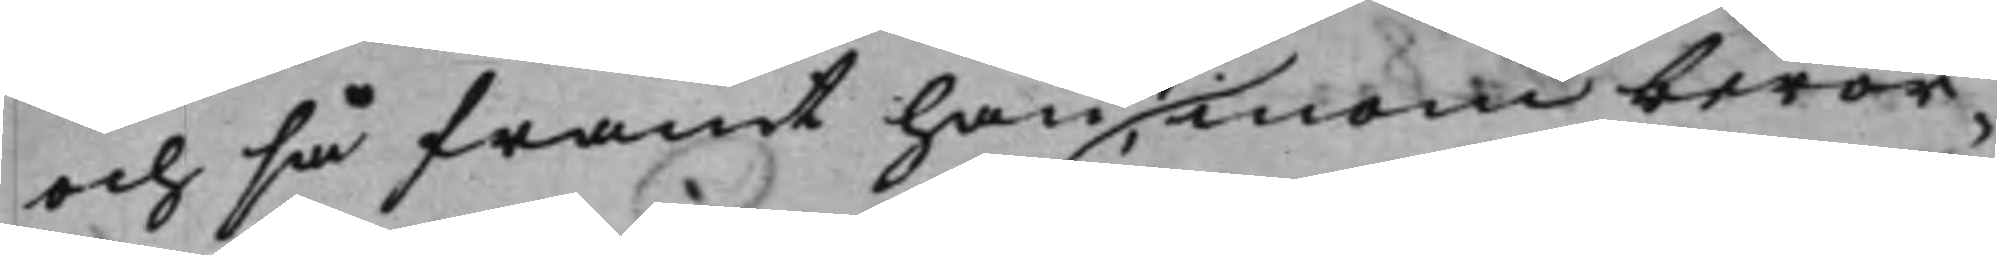och så framt han, inom berör¬
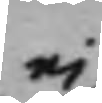ej
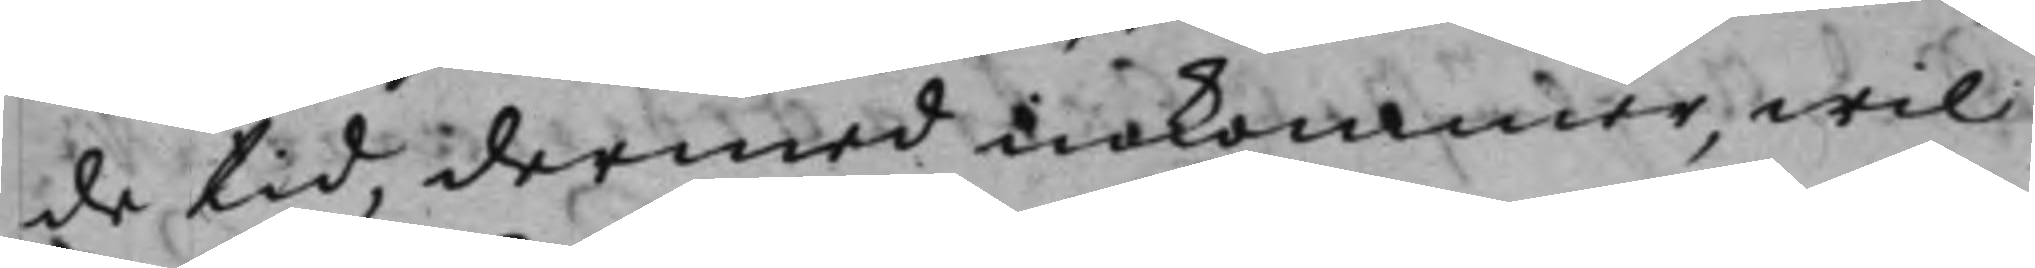de tid, dermed inkommer, wil
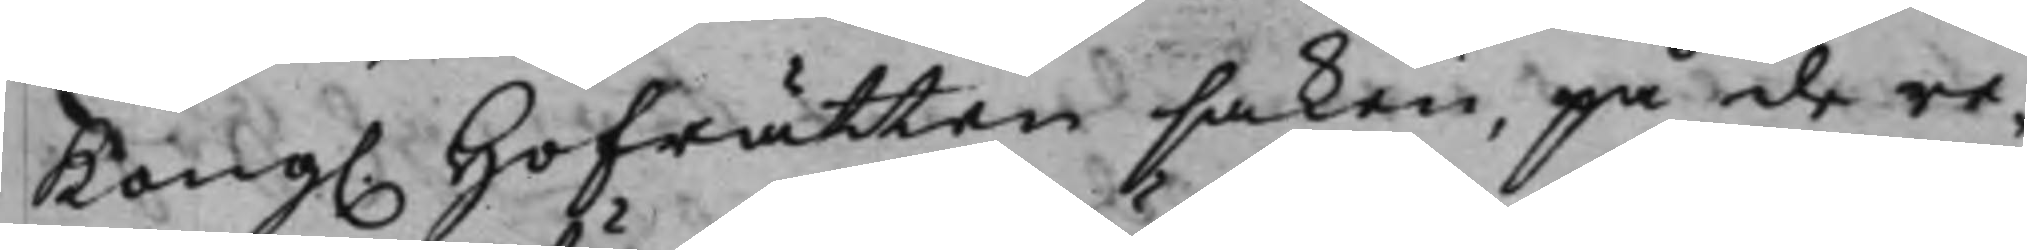Kong. Hofrätten saken, på de re¬ 
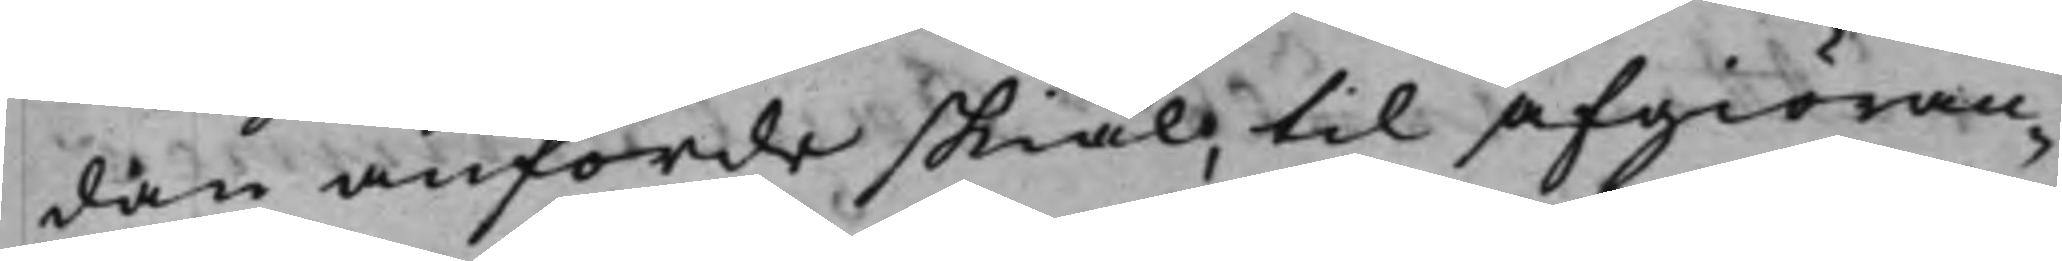dan anförde skiäl, til afgiöran¬
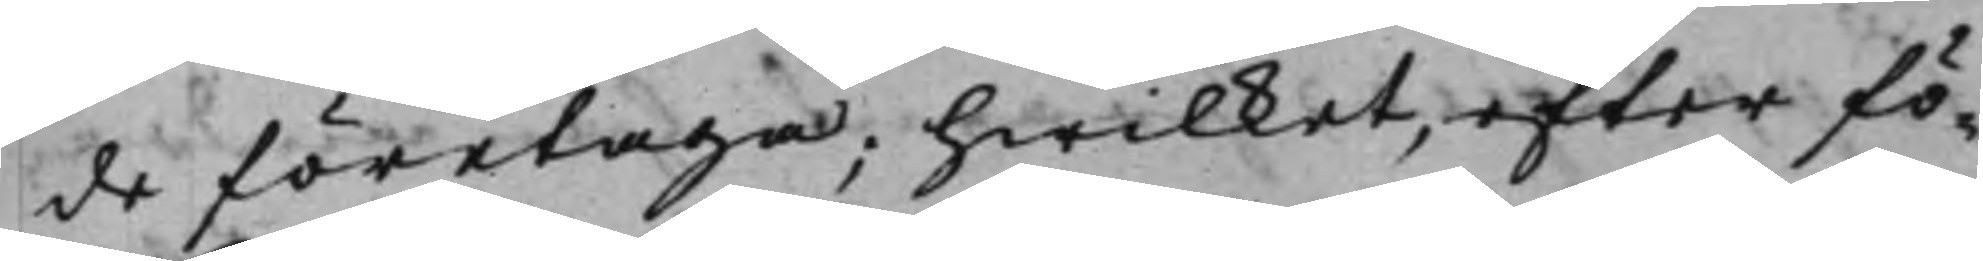de företaga; hwilket, efter fö¬
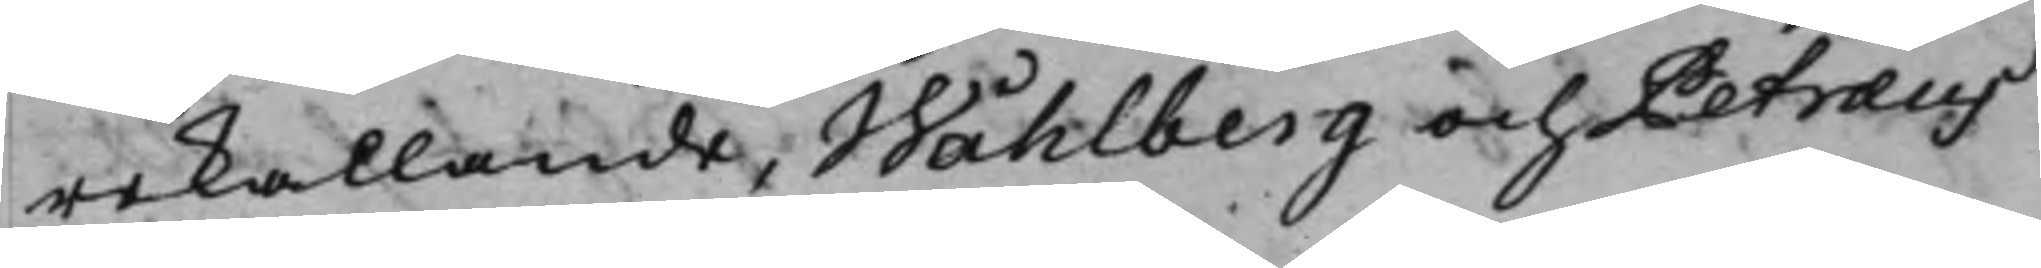rekallande; Wåhlberg och Petræus,
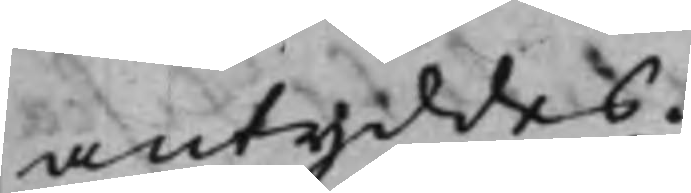antyddes.
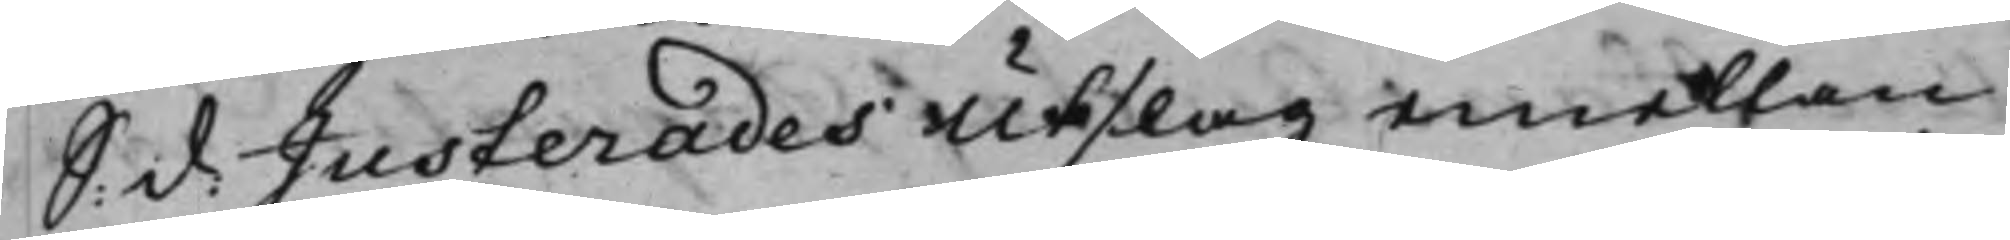S: d: Justerades Utslag emellan 
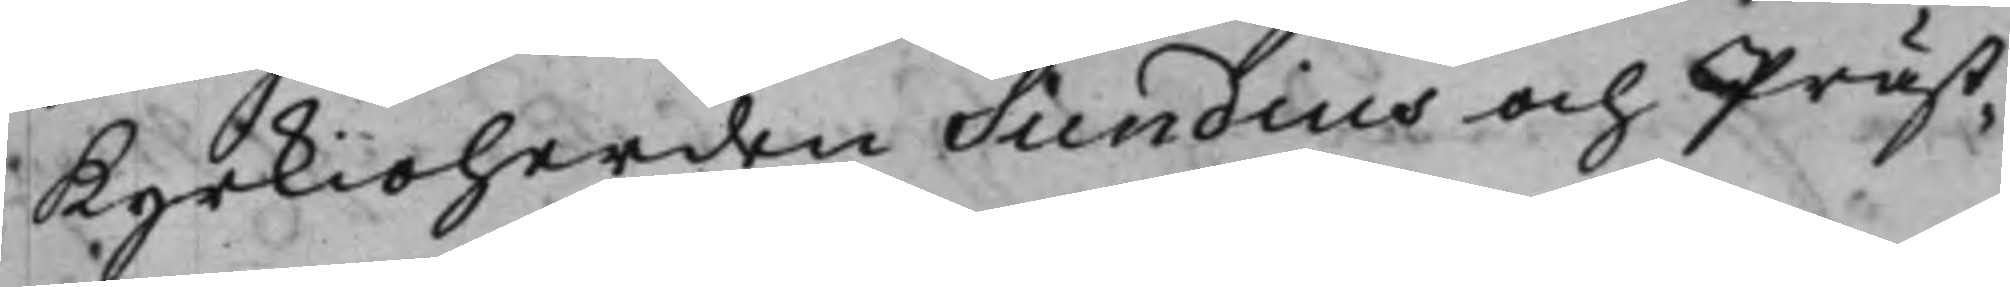Kyrkioherden Sundius och Präst¬
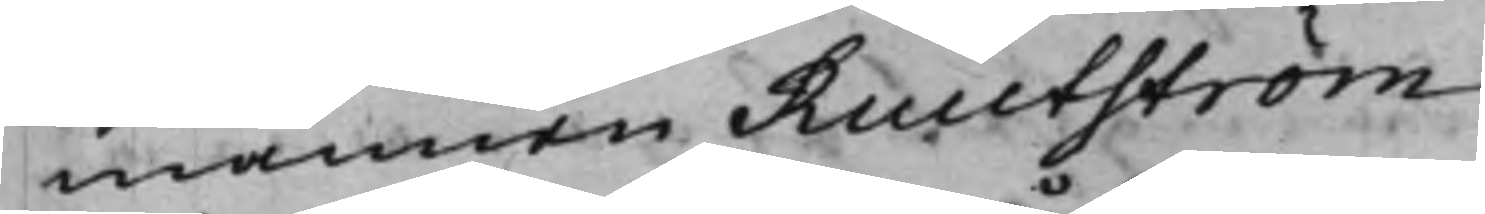mannen Ruutström
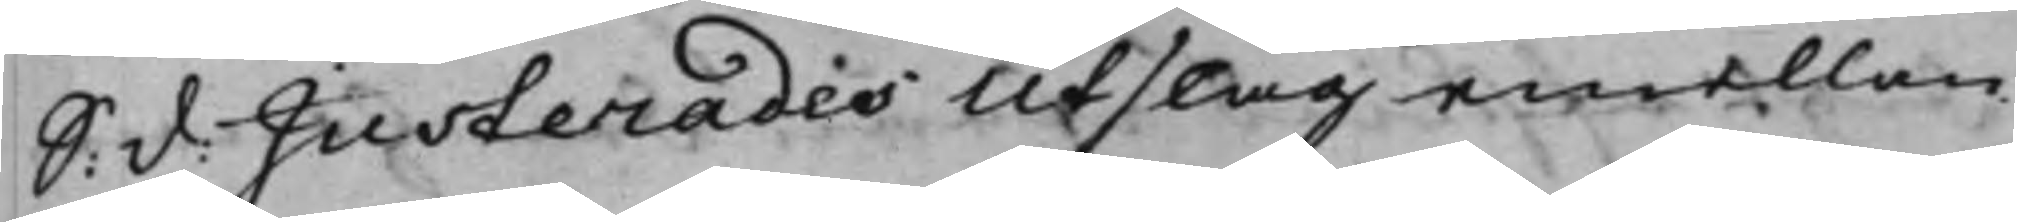S: d: Justerades Utslag emellan 
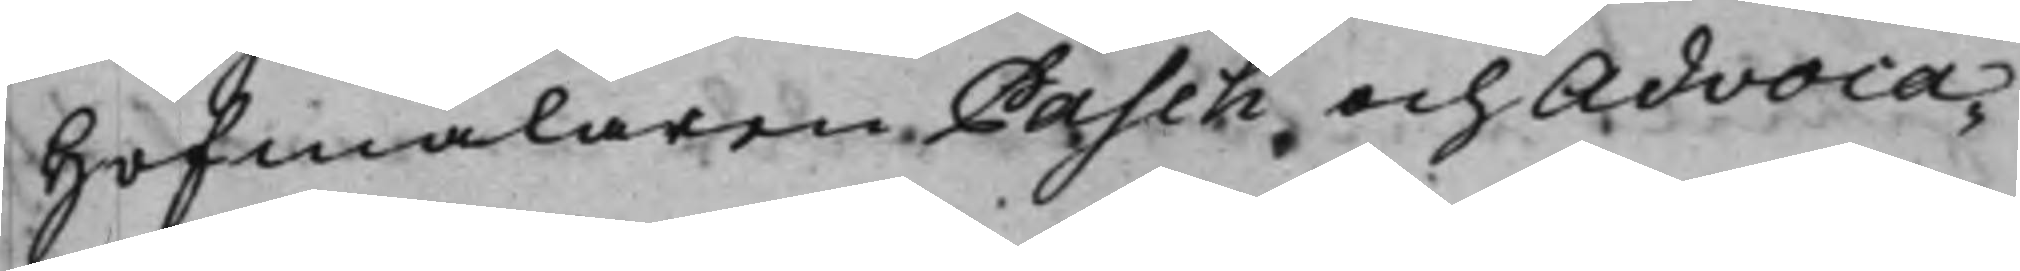Hofmålaren Pasch och Advoca¬
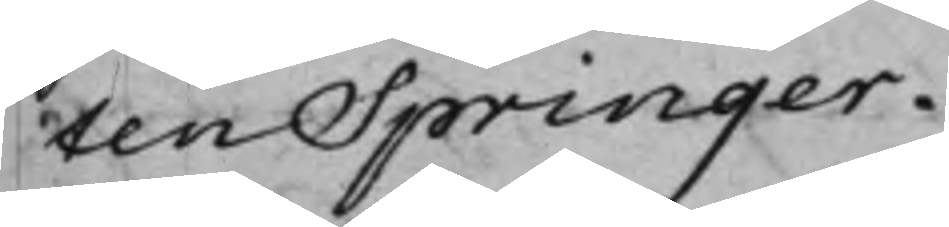ten Springer.
